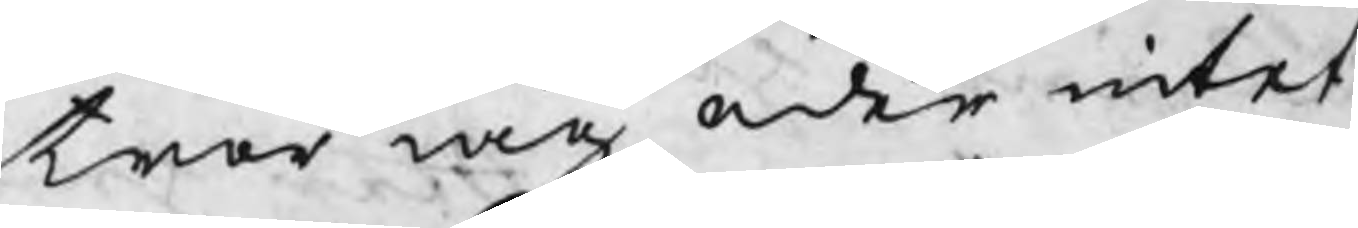tror mig eder intet
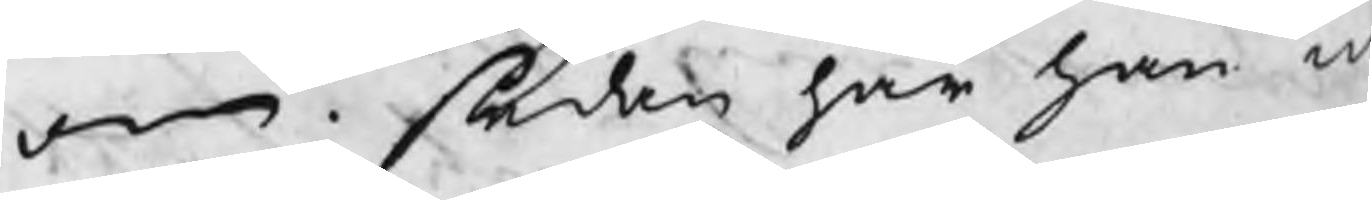om. sedan har han in
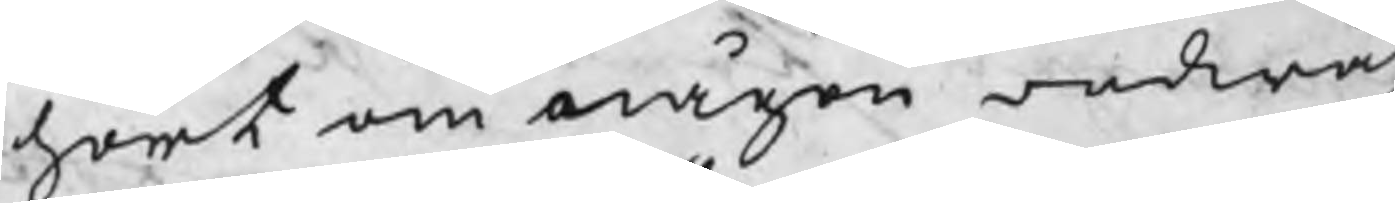hört om någon ordwäx¬
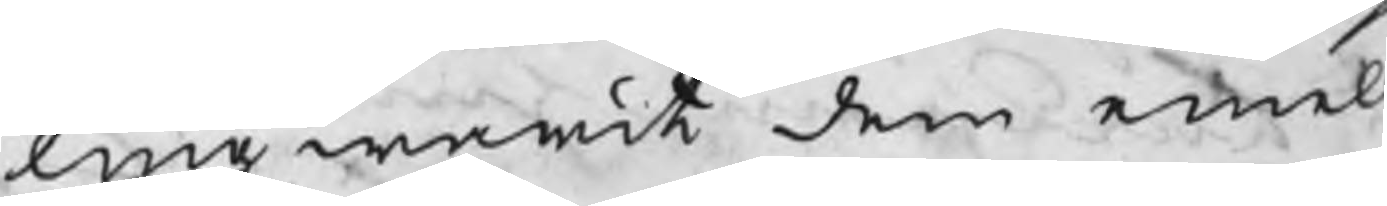ling warit dem emell
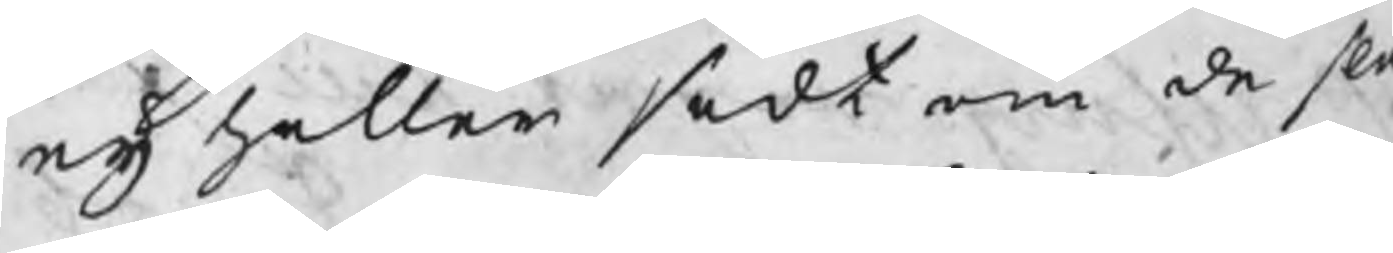eij heller sedt om de slag
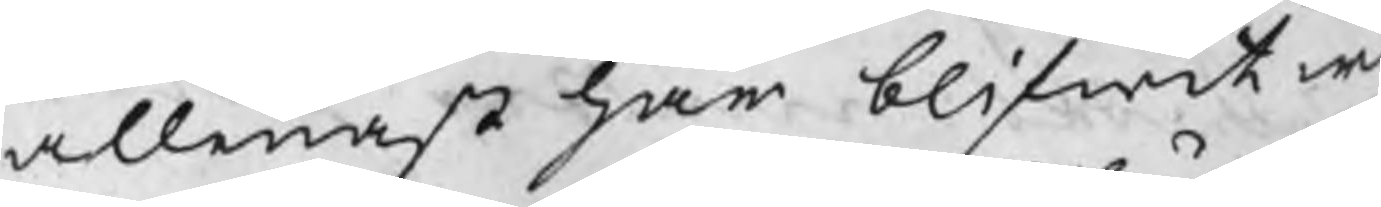allenast har blifwit w
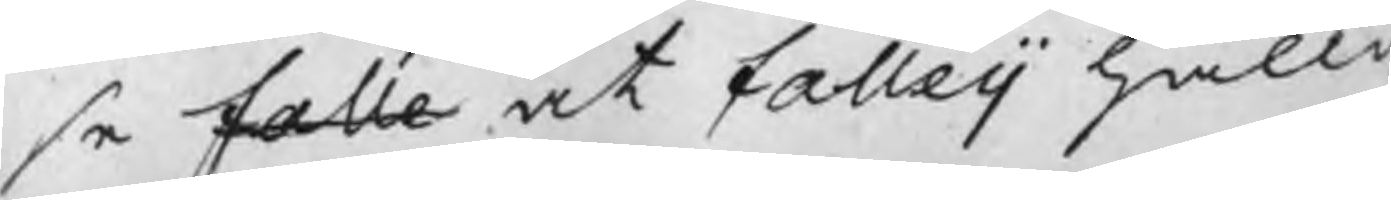se falle at falleij hållit
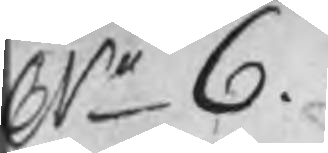Nr 6.
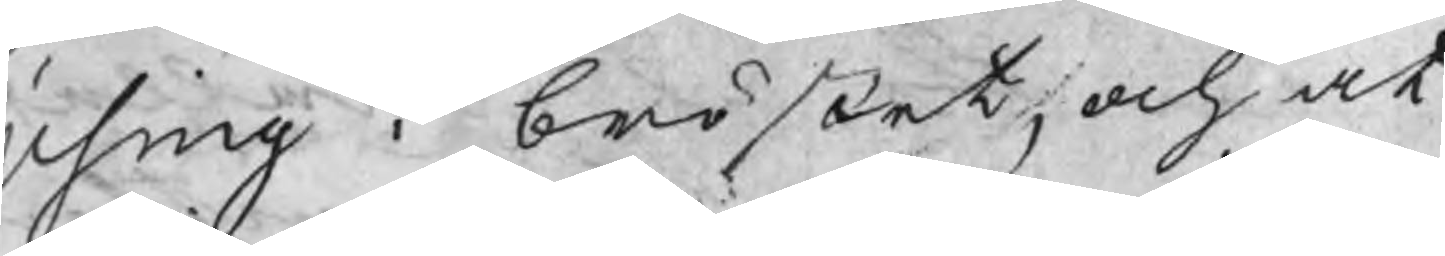Using i bröstet, och at
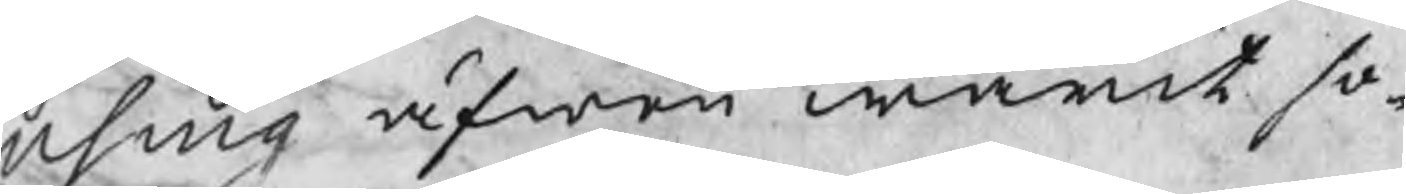using äfwen warit so¬
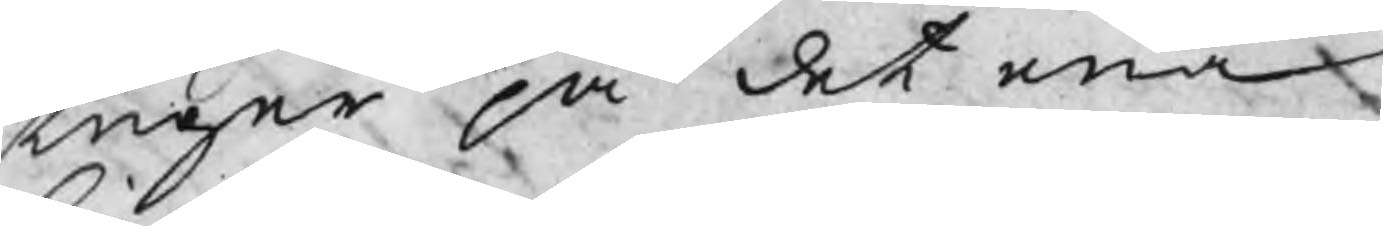tuger på det ena
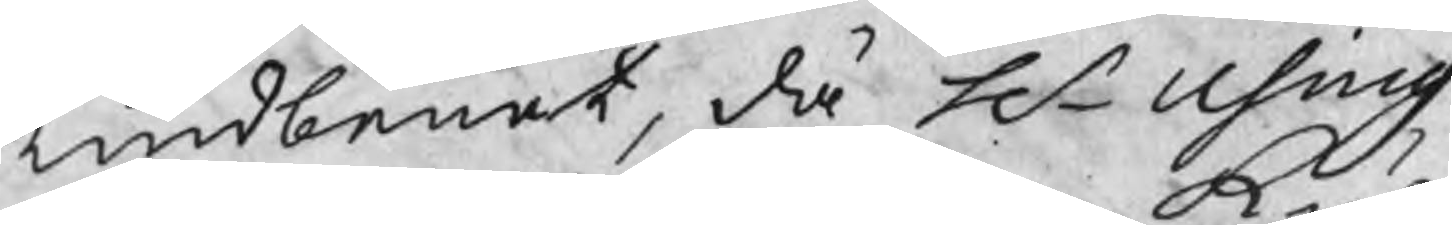kindbenet, då Hr Using
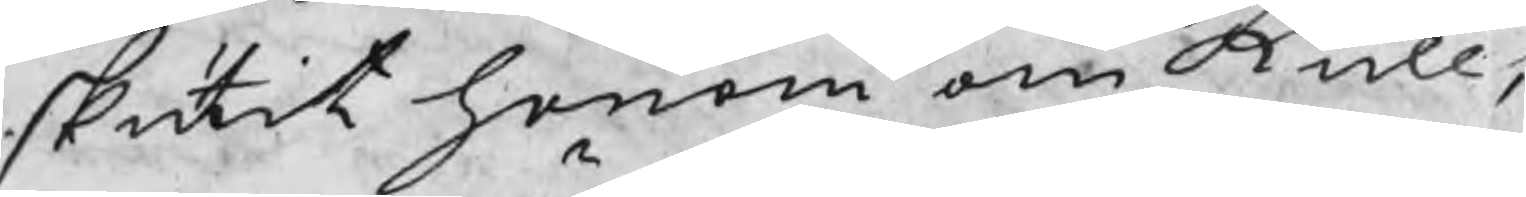skutit honom om kull,
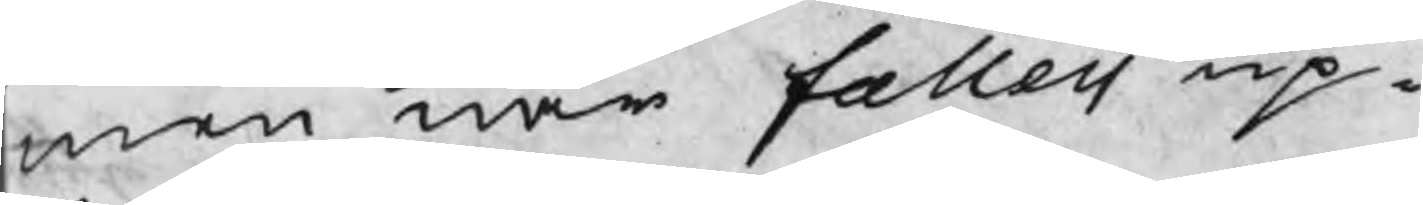men när falleij up¬
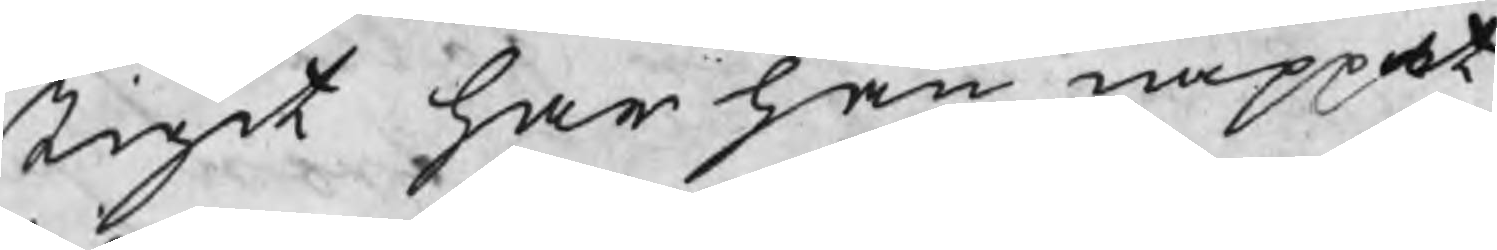stigit har han nappat
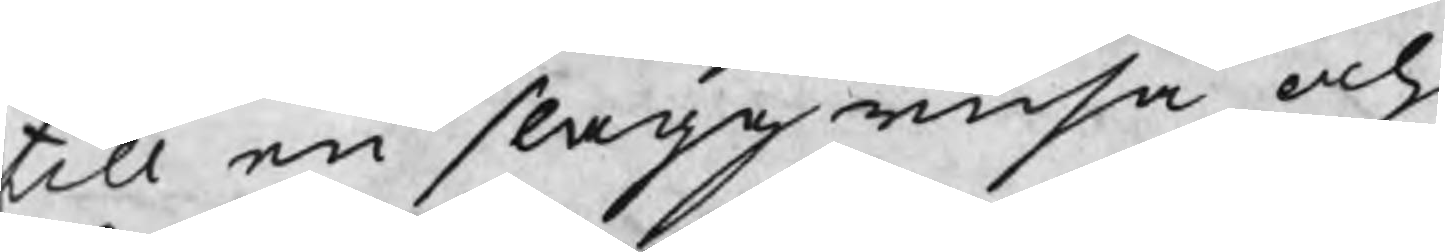till en slaggrusa och
